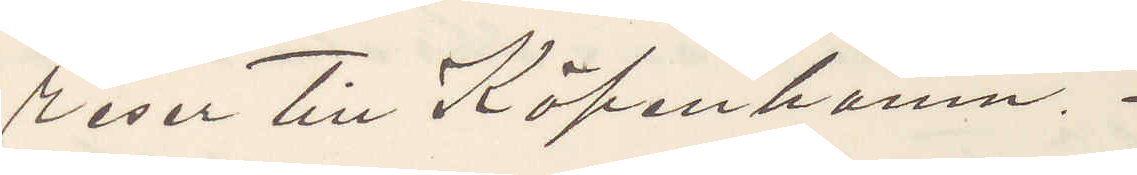reser till Köpenhamn.
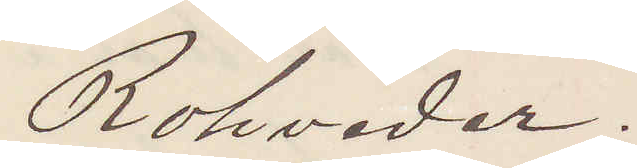Rohveder.
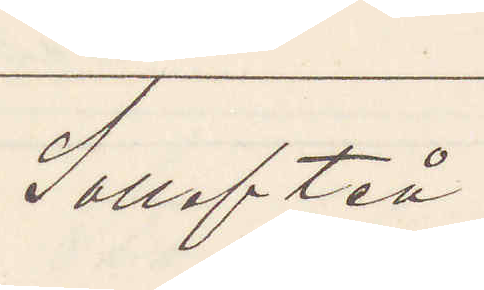Sollefteå.
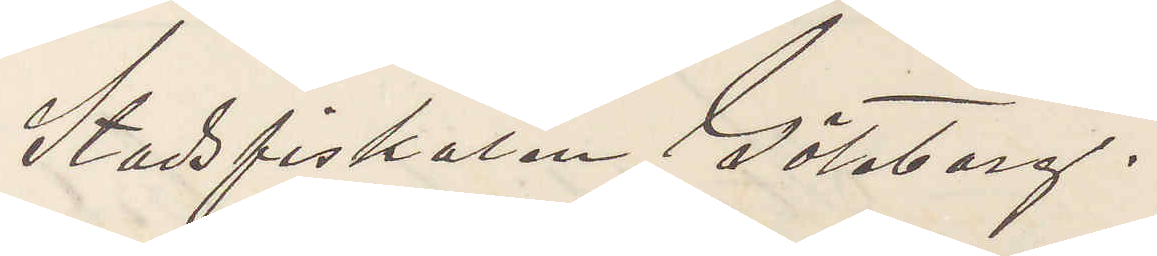Stadsfiskalen Göteborg.
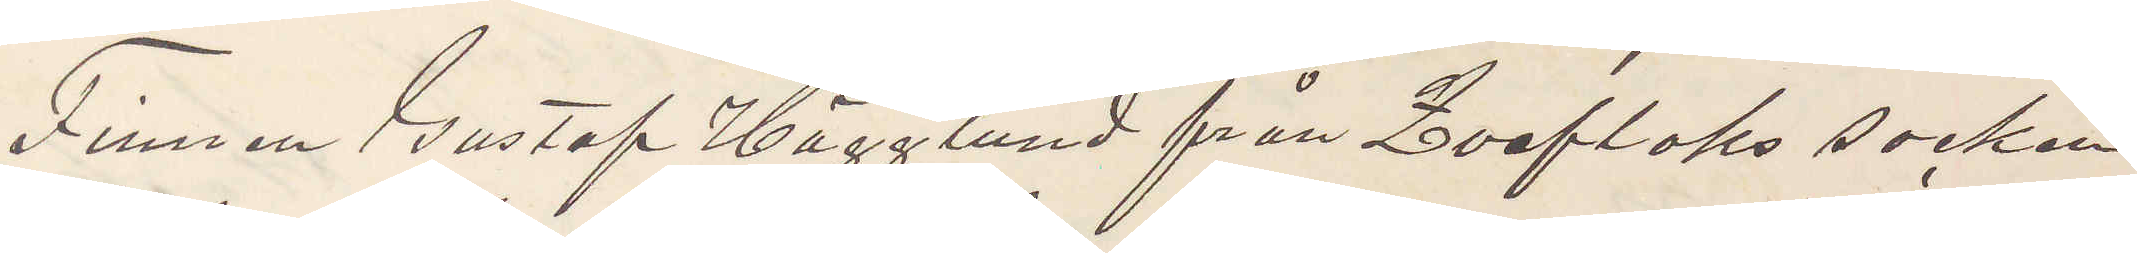Finnen Gustaf Hägglund från Qveflaks socken
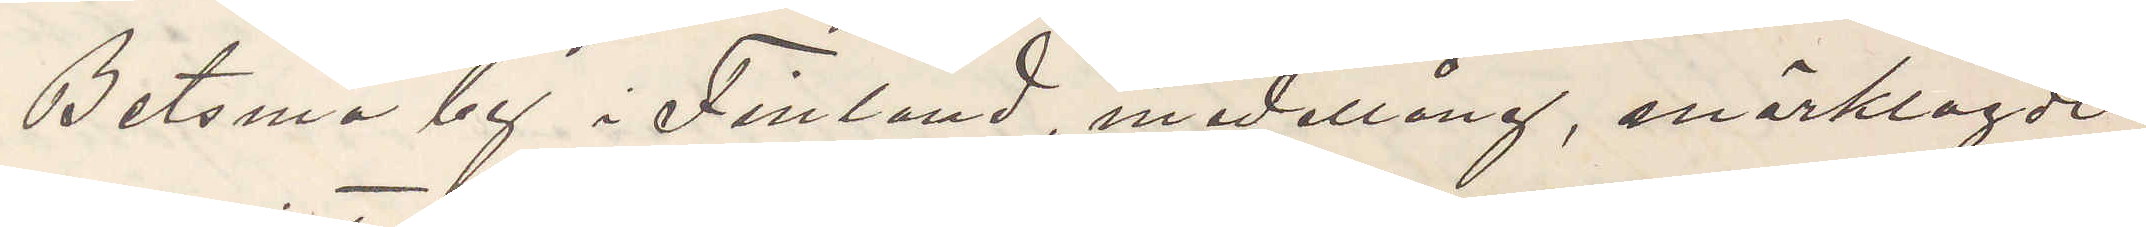Betsma by i Finland, medellång, mörklagde
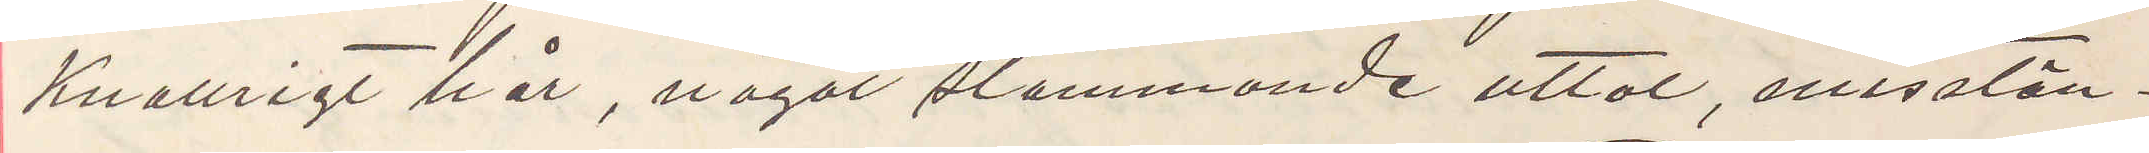knallrigt hår, något stammande uttal, misstän¬
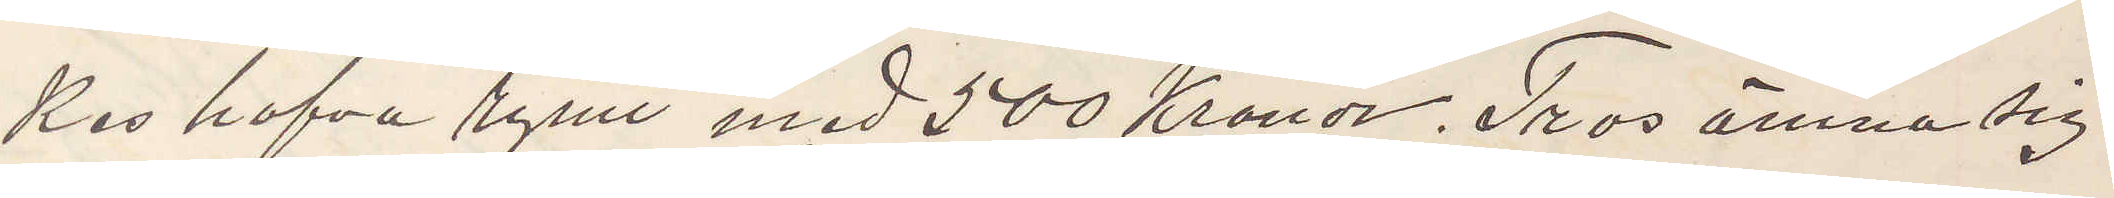kes hafva rymt med 500 Kronor. Tros ämna sig
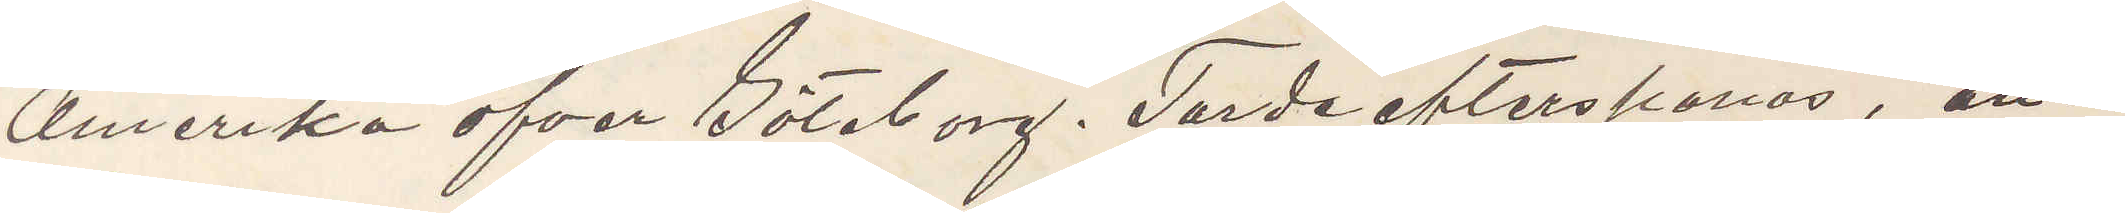Amerika öfver Göteborg. Torde efterspanas, an¬
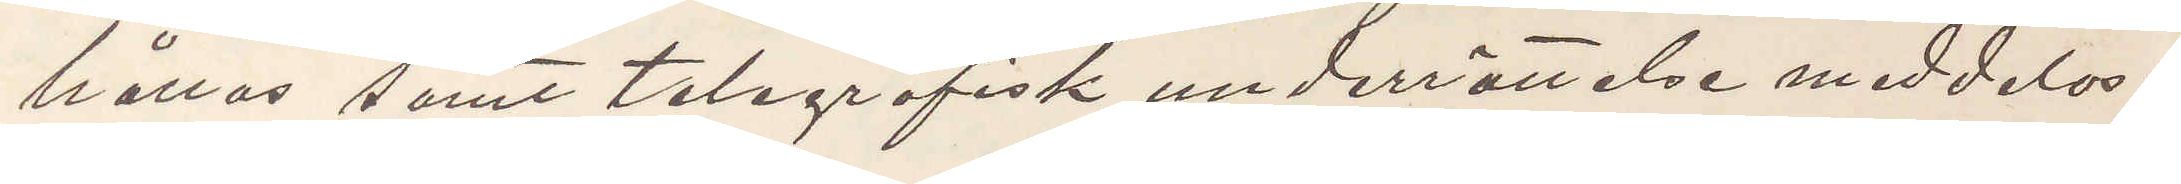hållas samt telegrafisk underrättelse meddelas.
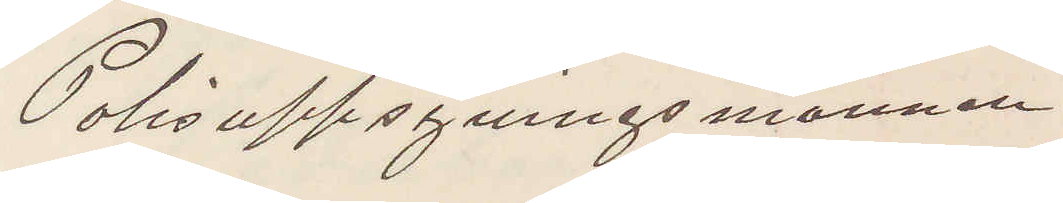Polisuppsyningsmannen
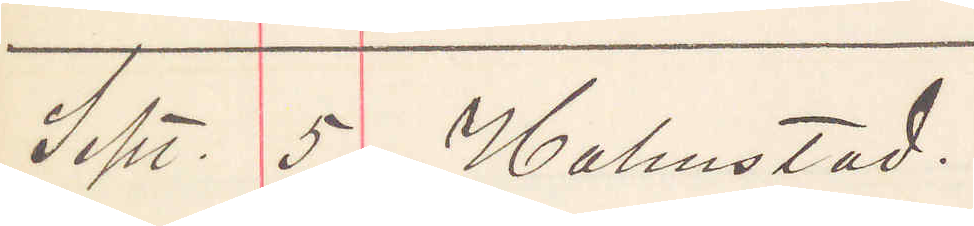Sept. 5 Halmstad.
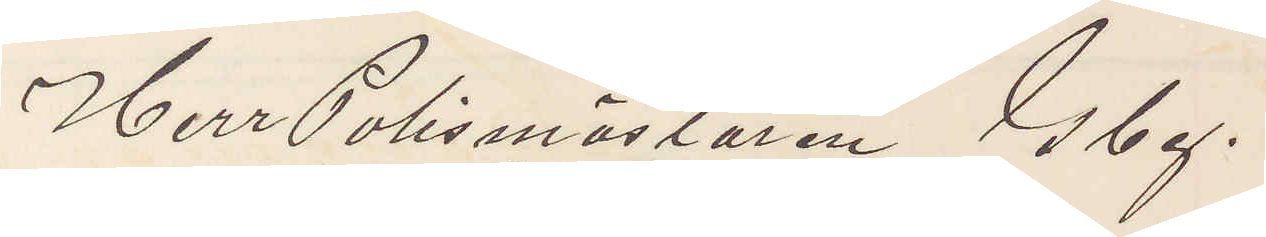Herr Polismästaren Gbg.
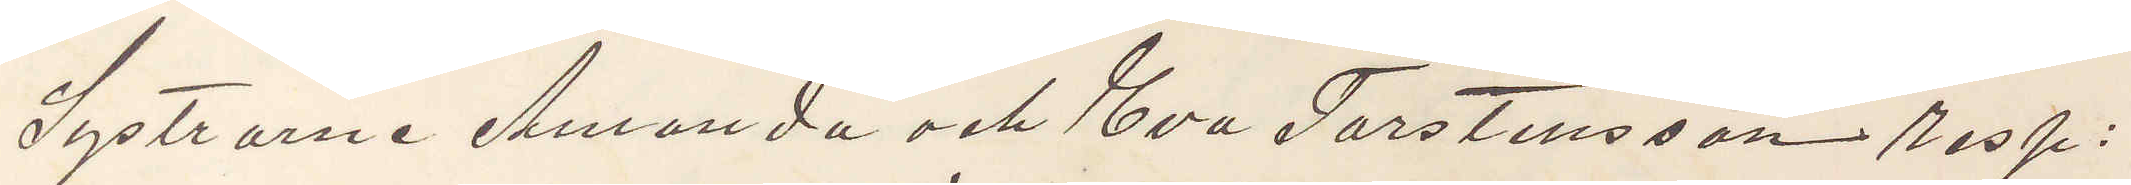Systrarne Amanda och Eva Torstensson resp:
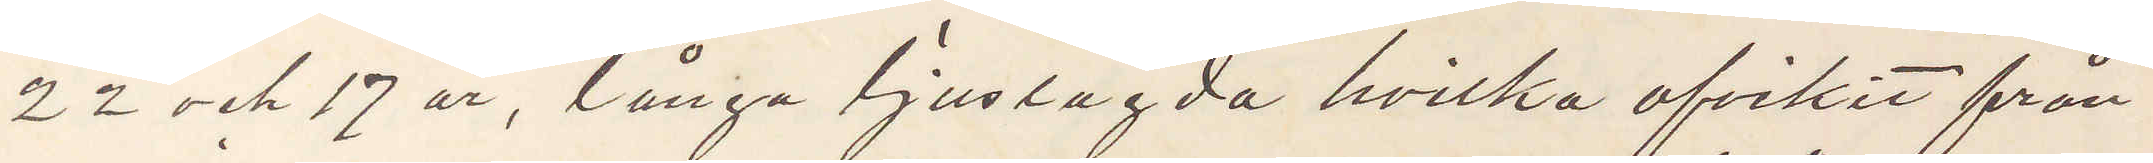22 och 17 år, långa ljuslagda hvilka afvikit från
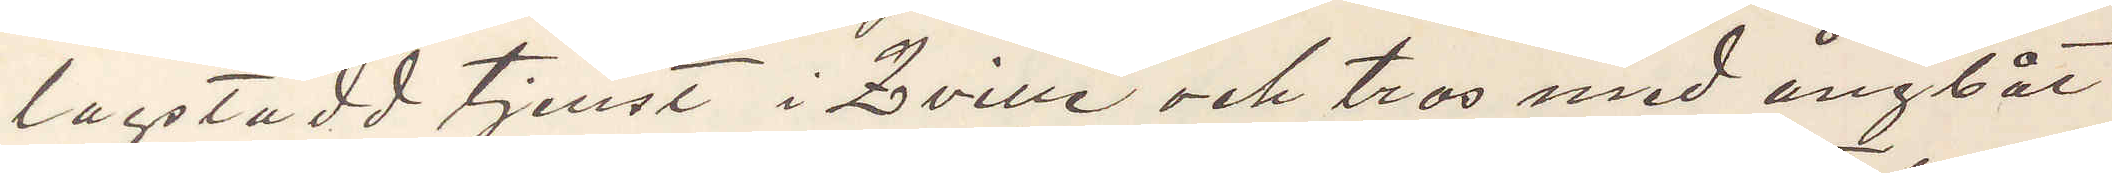lagstadd tjenst i Qville och tros med ångbåt
